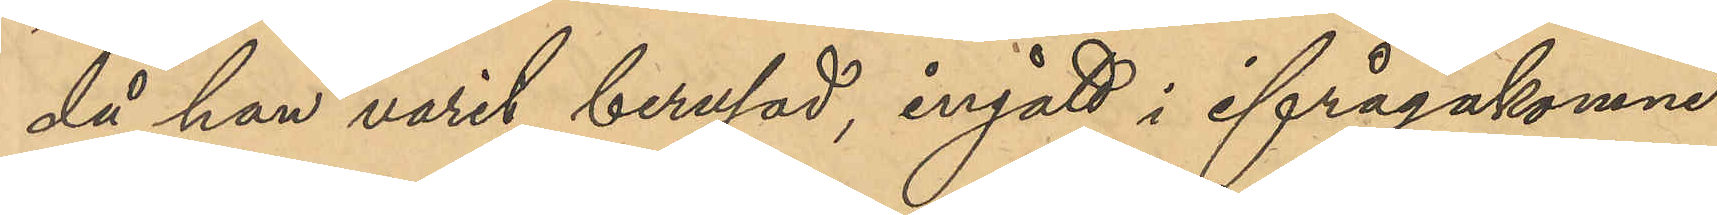då han varit berusad, ingått i ifrågakomne
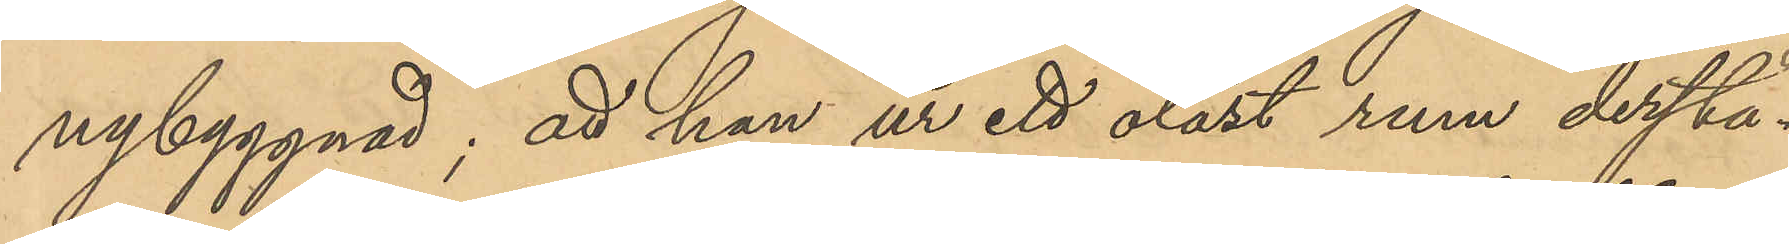nybyggnad; att han ur ett olåst rum derstä¬
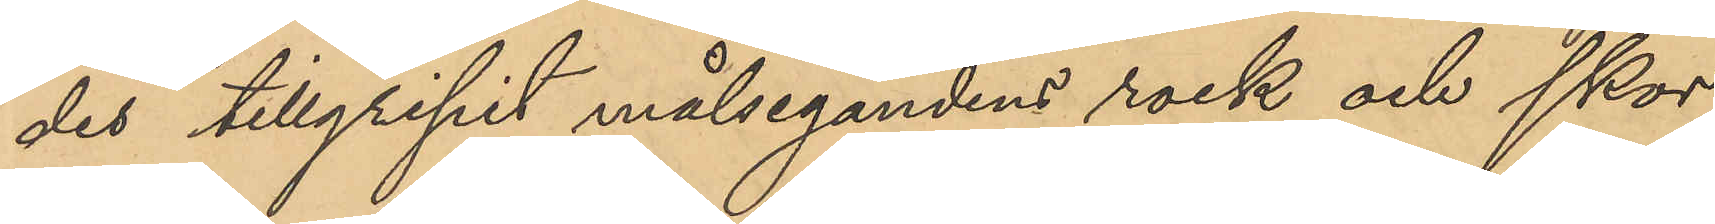des tillgripit målsegandens rock och skor;
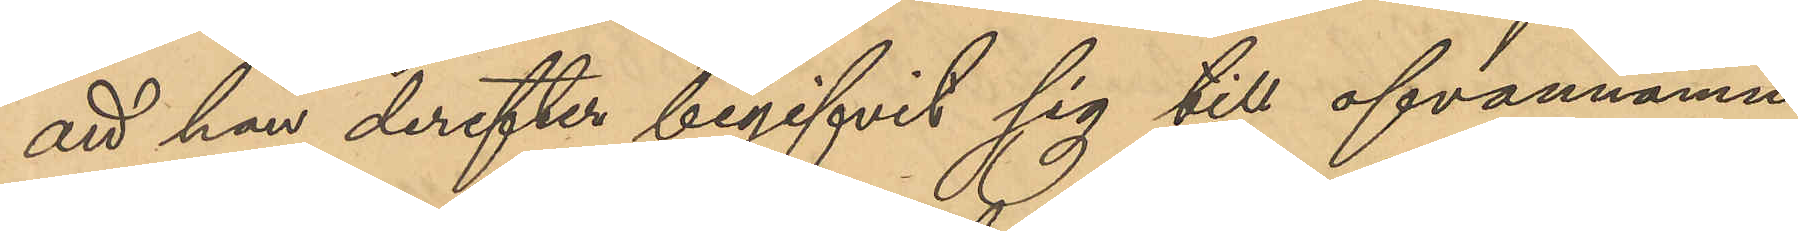att han derefter begifvit sig till ofvannämn¬
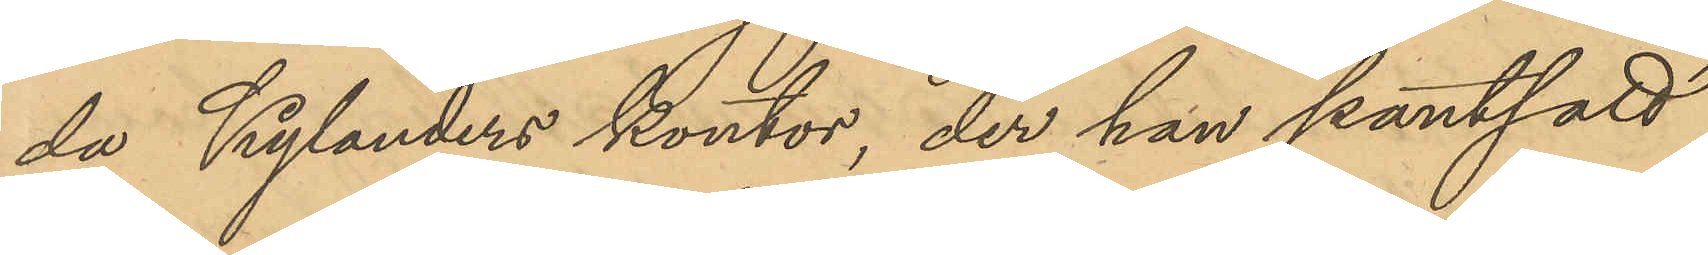da Kylanders kontor, der han pantsatt
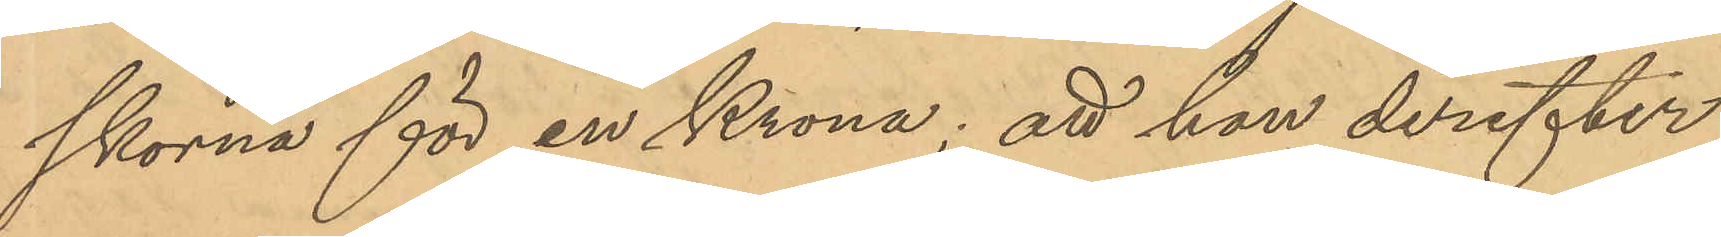skorna för en Krona; att han derefter,
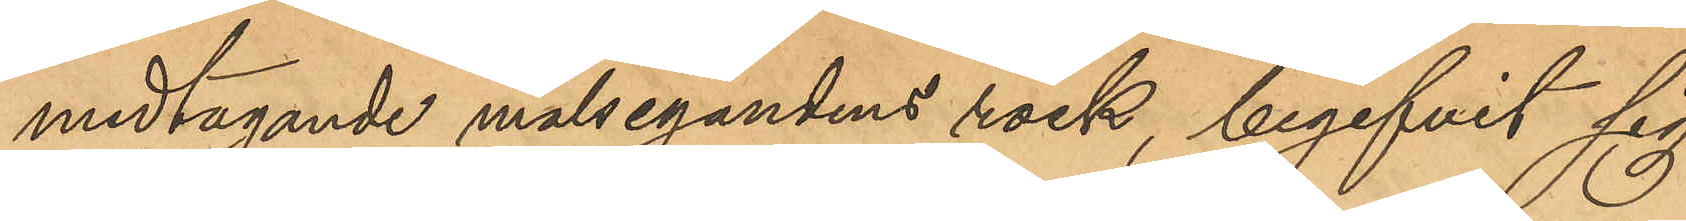medtagande målsegandens rock, begifvit sig
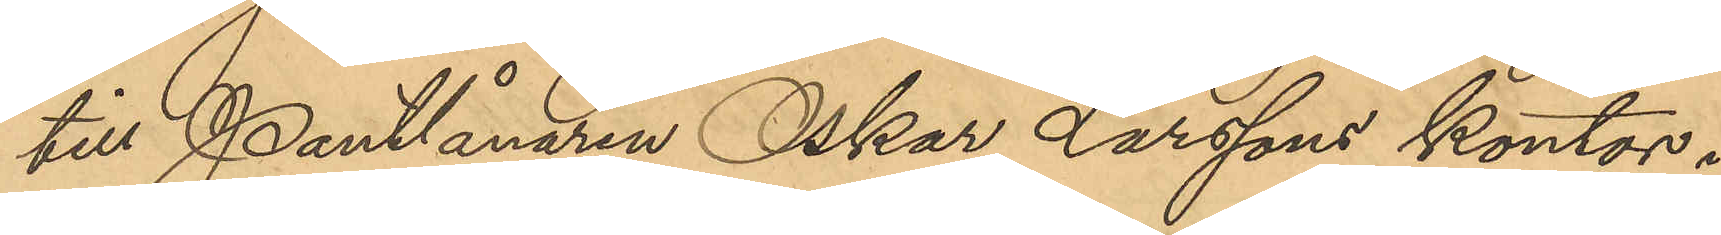till Pantlånaren Oskar Larssons kontor i
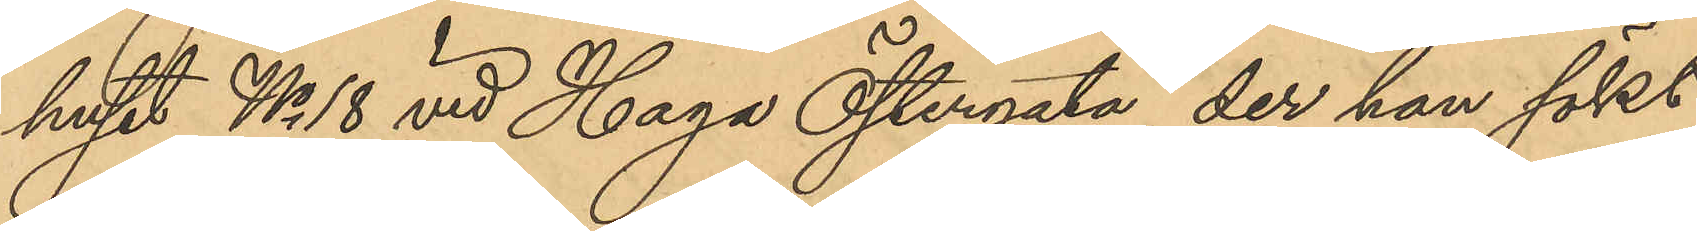huset No 18 vid Haga Östergata, der han sökt
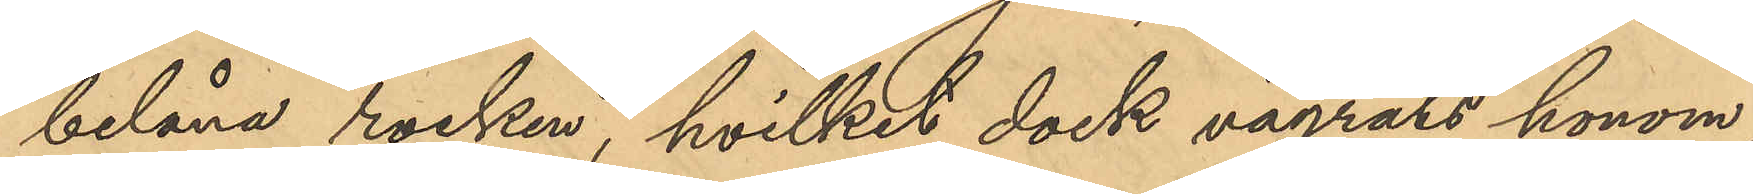belåna rocken, hvilket dock vägrats honom;
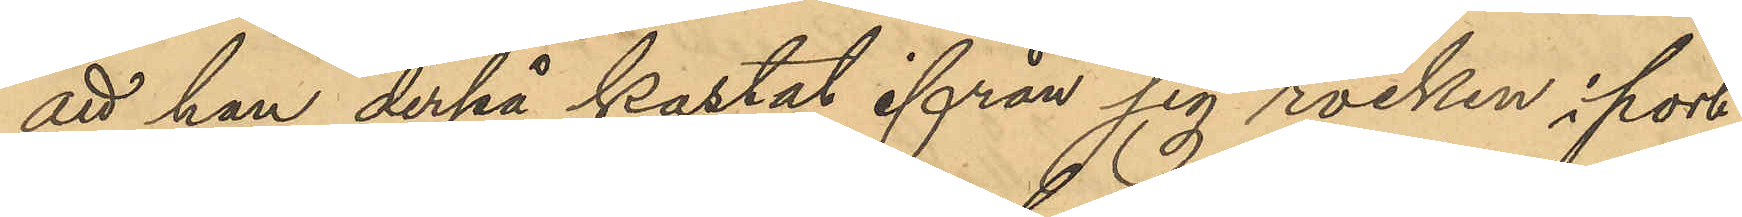att han derpå kastat ifrån sig rocken i port¬
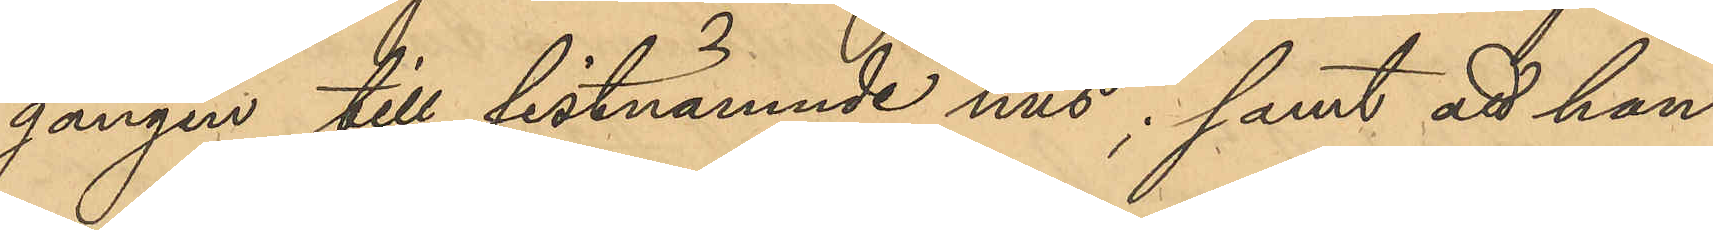gången till sistnämnde hus; samt att han
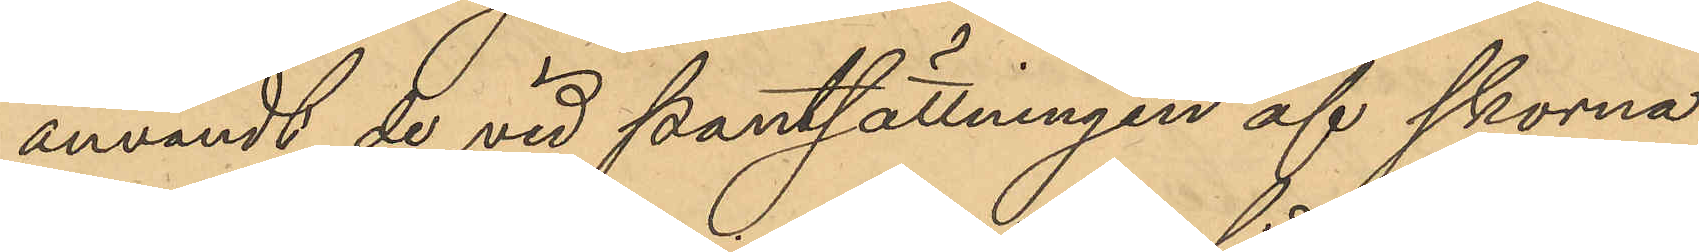användt de vid pantsättningen af skorna
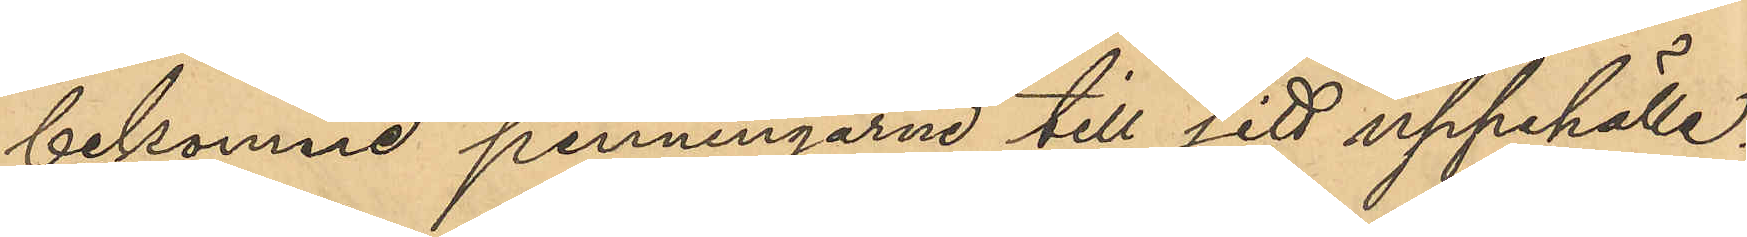bekomne penningarne till sitt uppehälle.
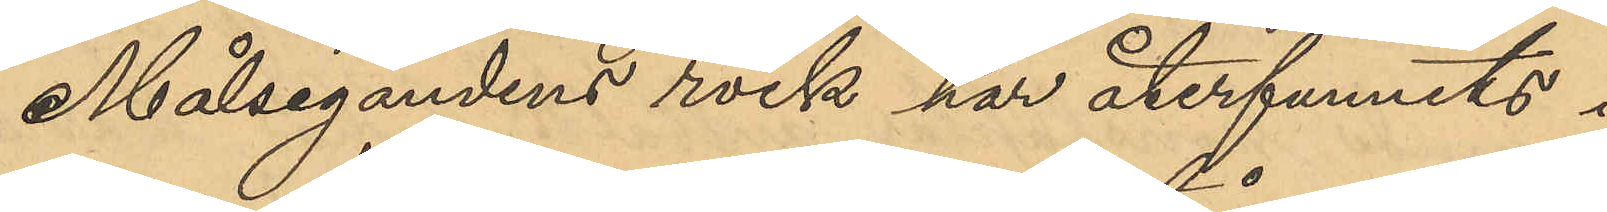Målsegandens rock har återfunnits i
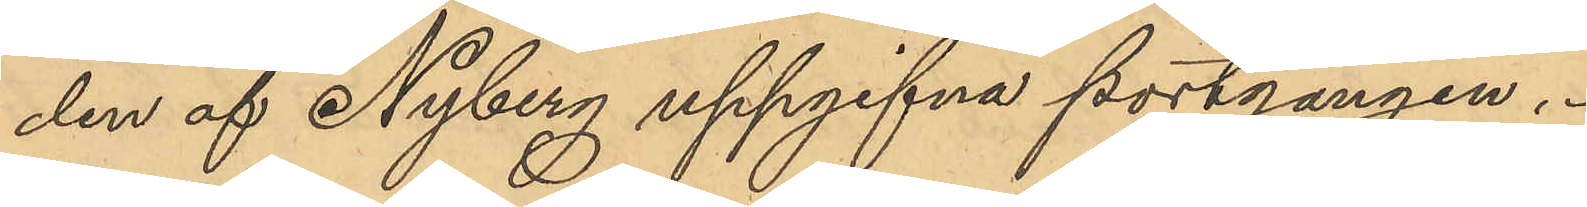den af Nyberg uppgifna portgången,
